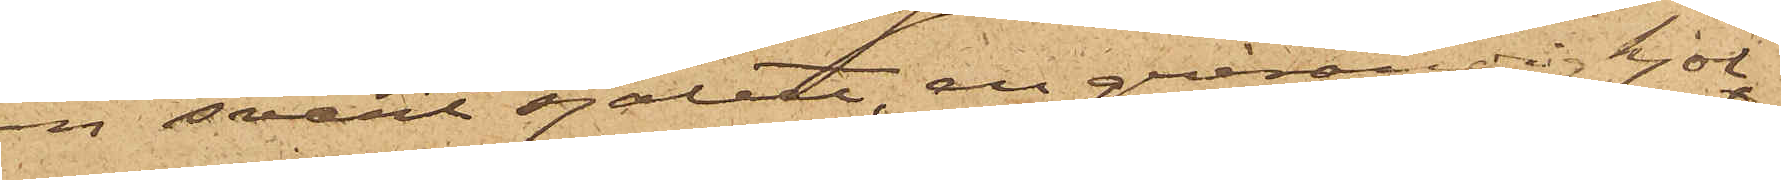en svart sjalett, en grårandig kjol
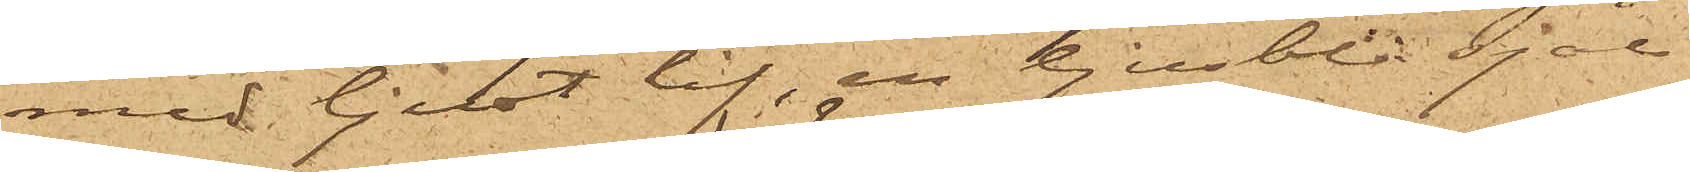med ljust lif, en ljusblå sjal
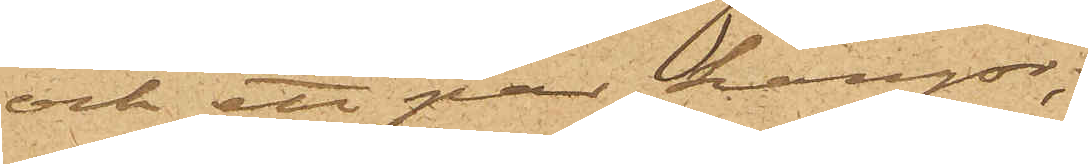och ett par kängor;
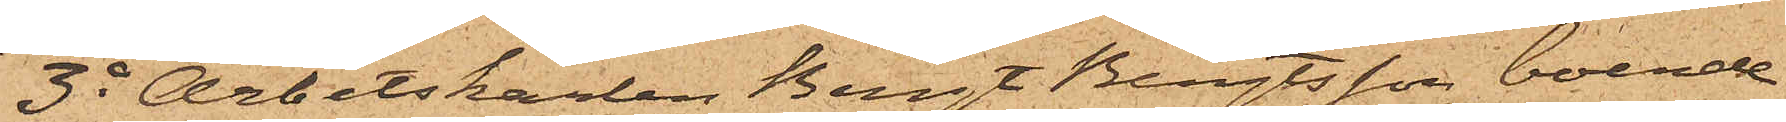3o Arbetskarlen Bengt Bengtsson, boende
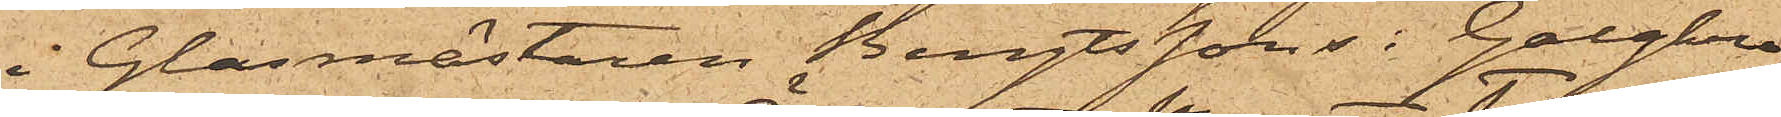i Glasmästaren Bengtssons i Galgkro¬
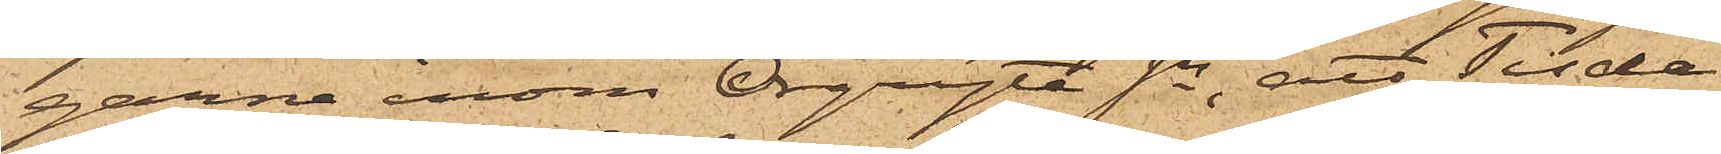garne inom Örgryte Sn, att Tisda¬
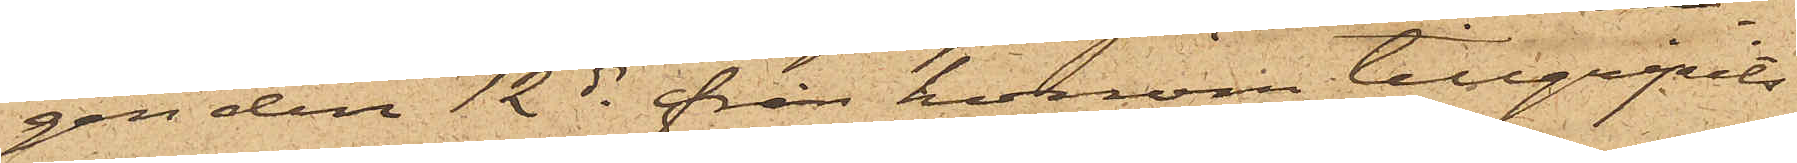gen den 12 ds från honom tillgripits
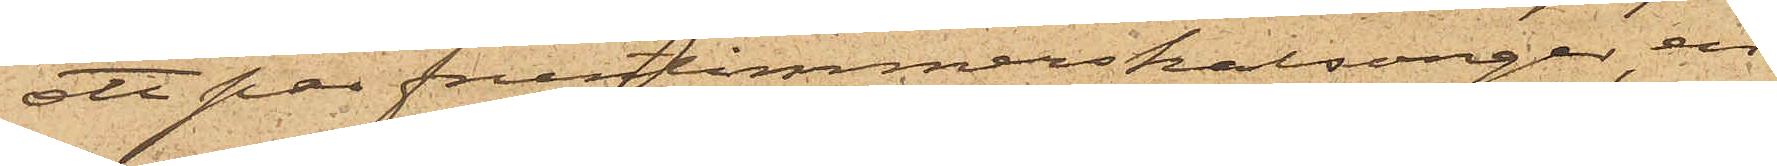ett par fruntimmerskalsonger, en
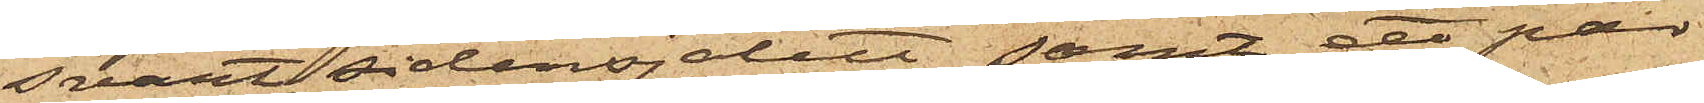svart sidensjalett, samt ett par
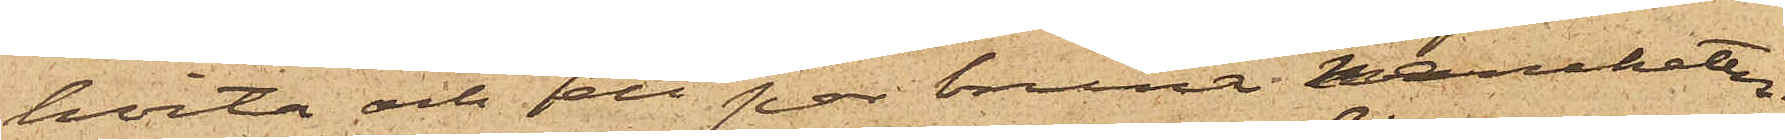hvita och ett par bruna manchetter;
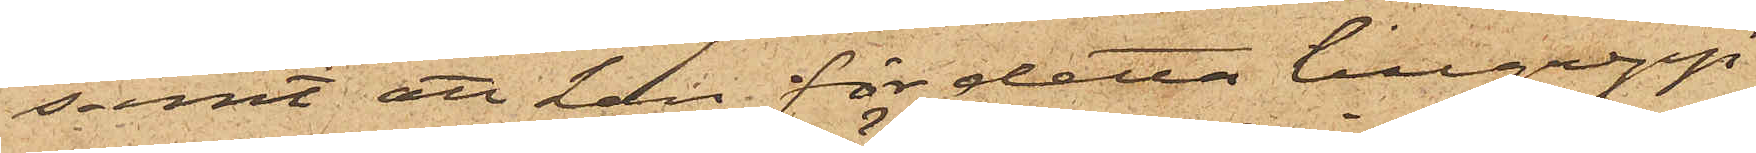samt att han för detta tillgrepp
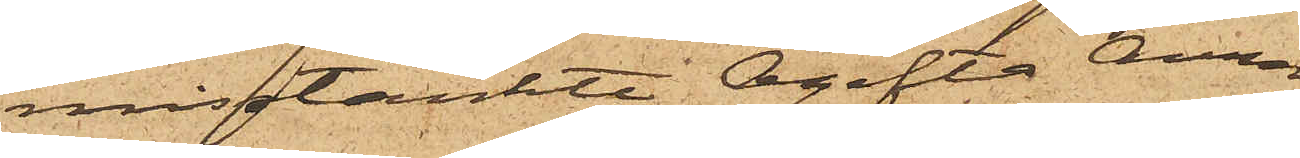misstänkte Ogifta Anna
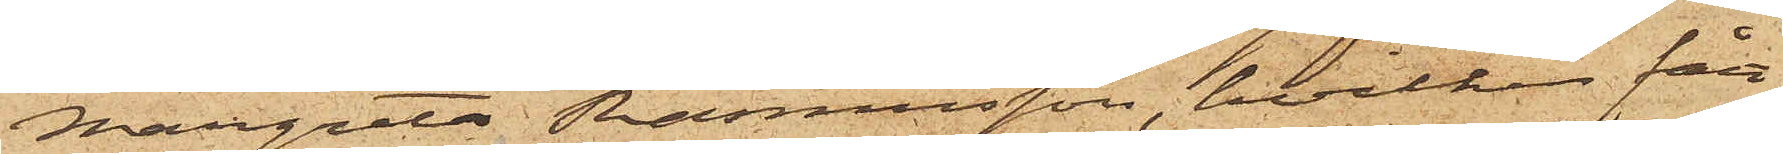Margreta Rasmusson, hvilken fått
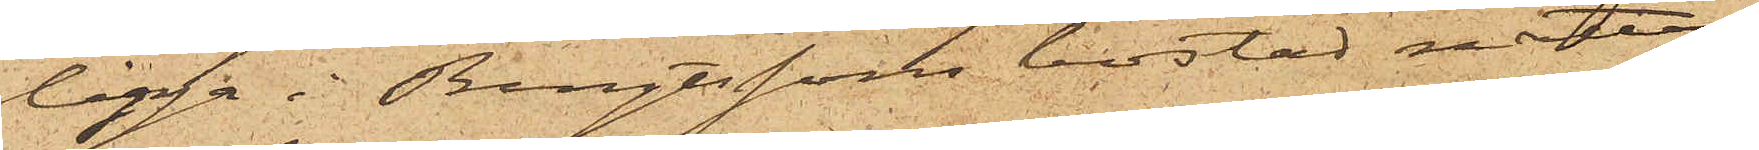ligga i Bengtssons bostad natten
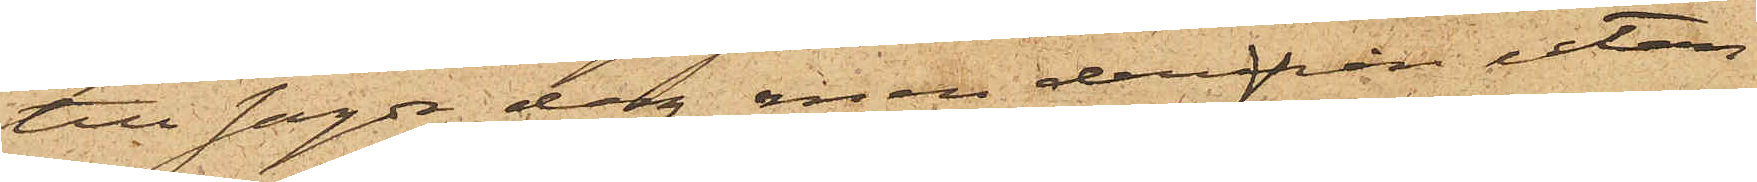till sagde dag men derifrån utan
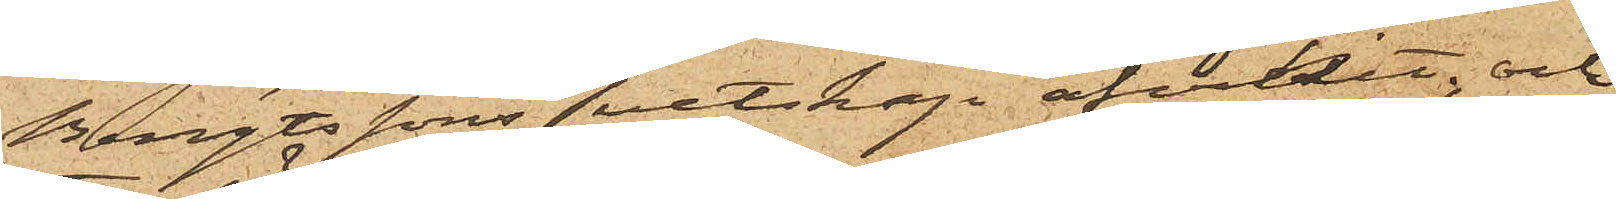Bengtssons vetskap afvikit; och
